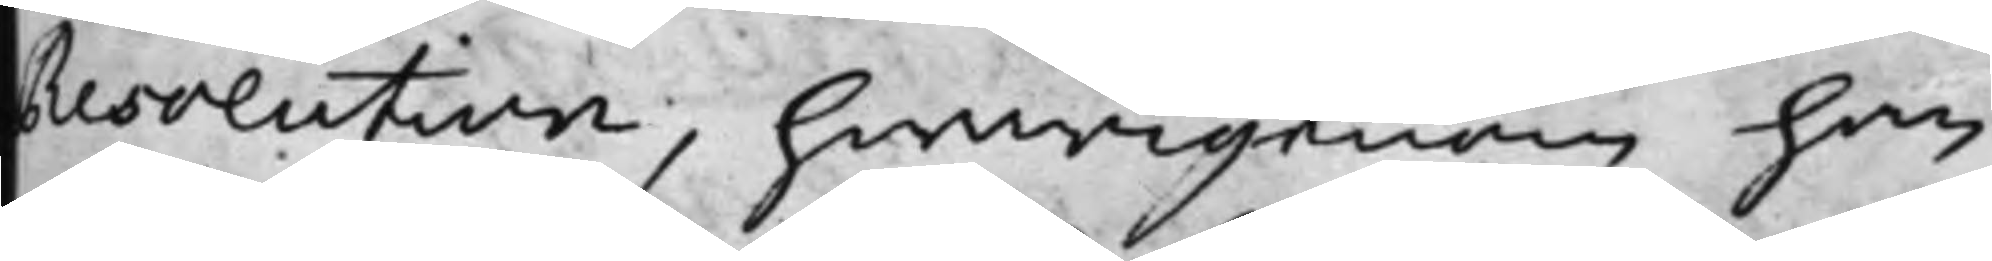resolution, hwarigenom han
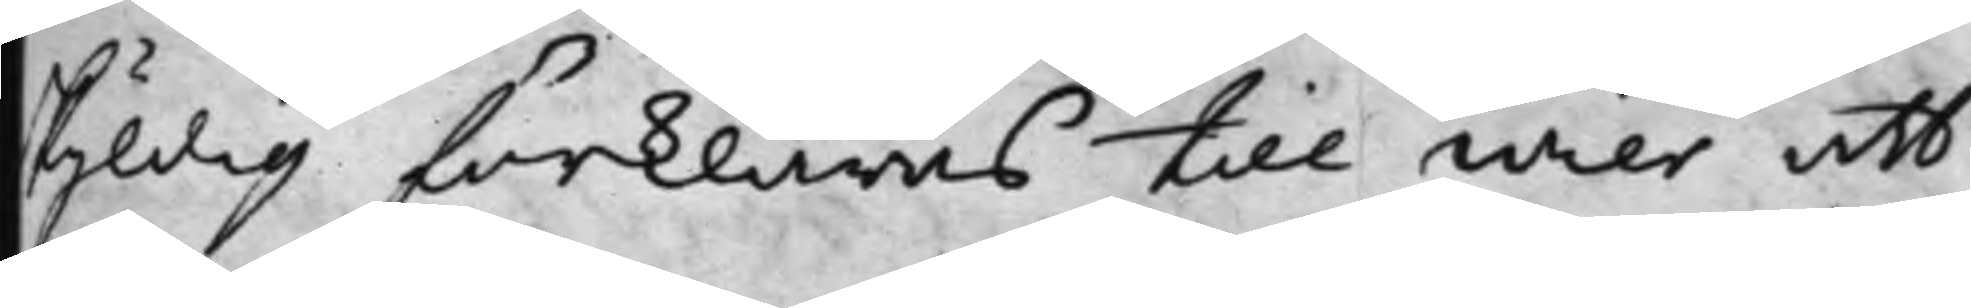skyldig förklaras till Wier att
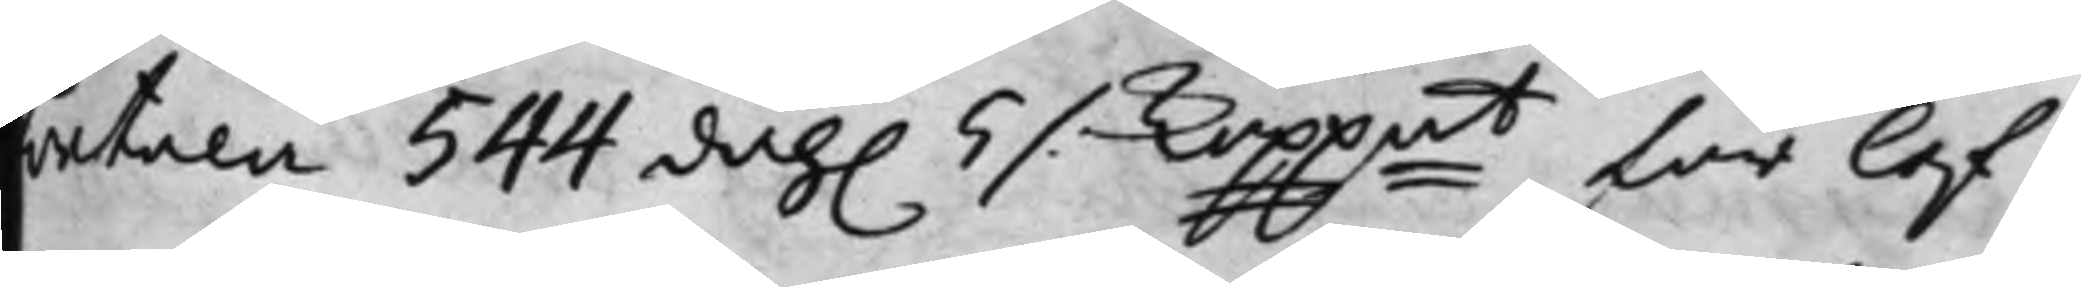betala 544 dah. 5 ./. Koppmt för lef¬
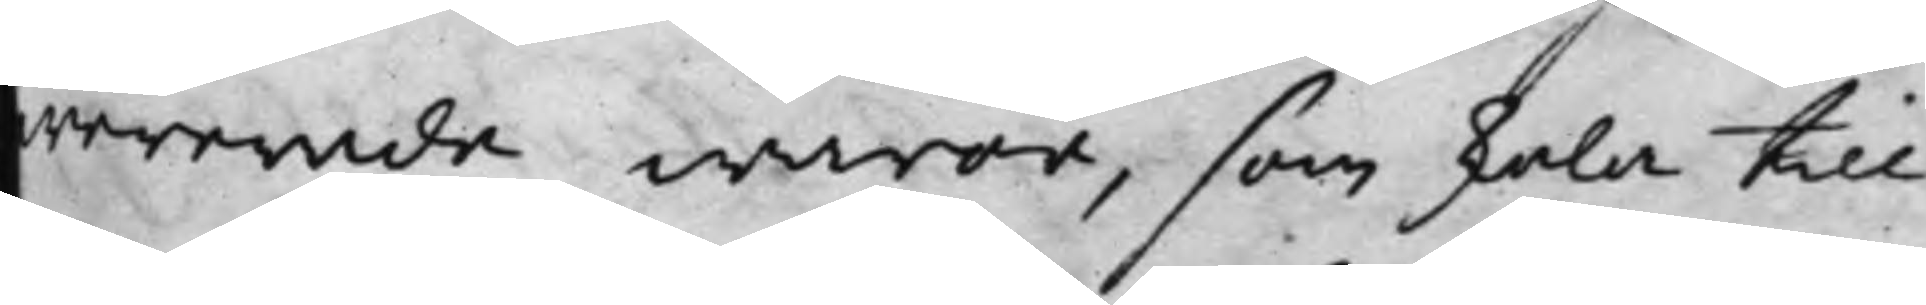wererade waror, som skola till
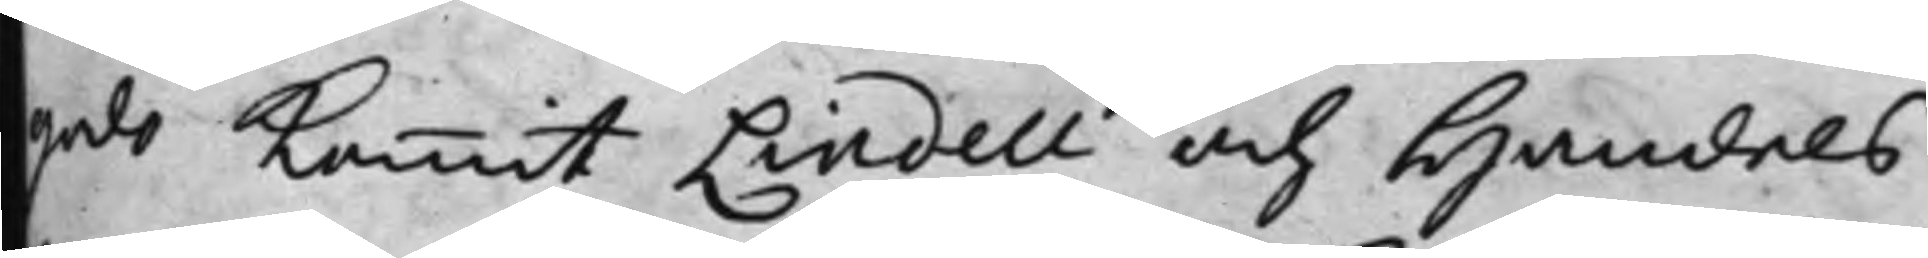godo kommit Lindell och Handels¬
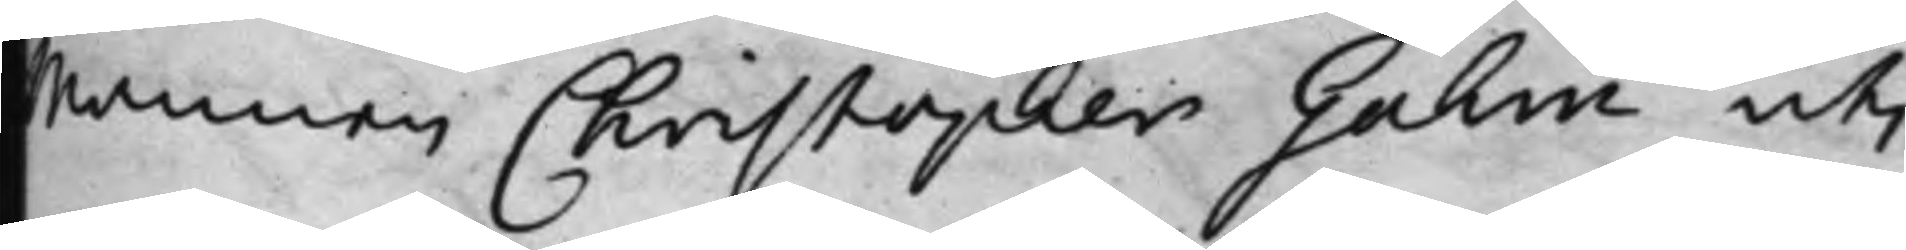Mannen Christopher Gahm uti
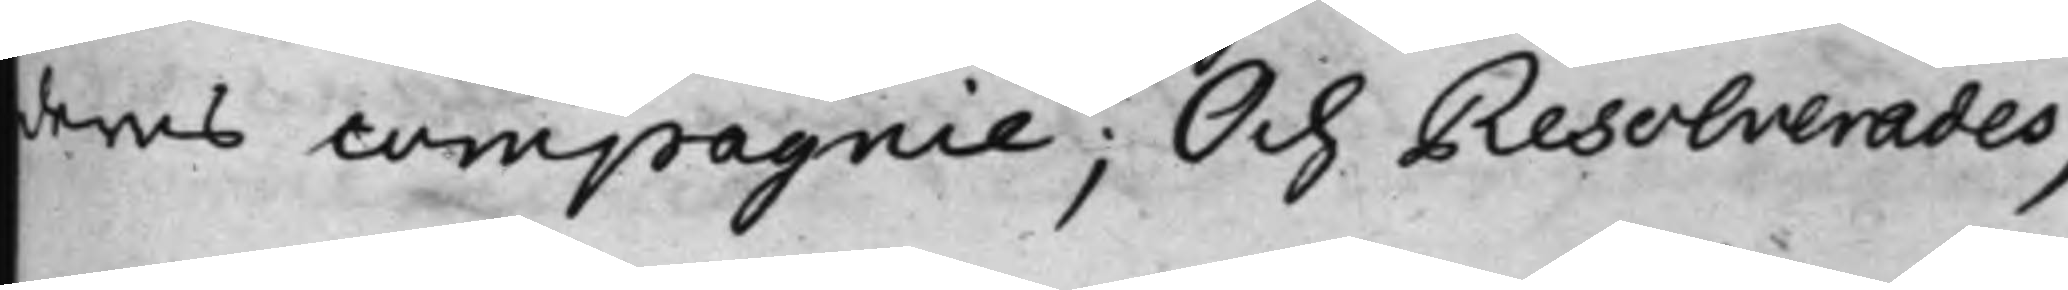deras compagnie; Och Resolverades,
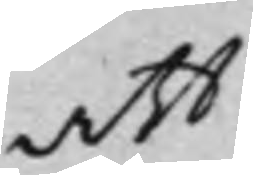att
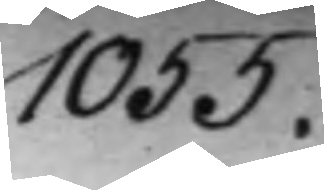1055.
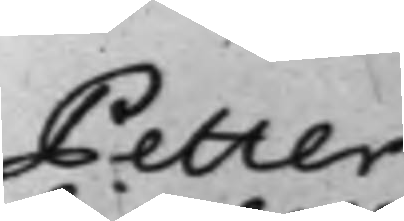Petter
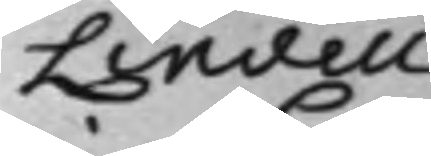Lindell
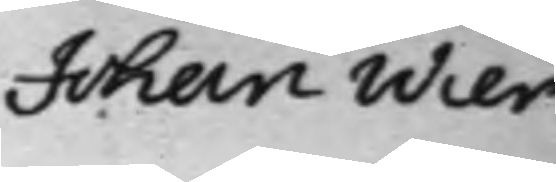Johan Wier
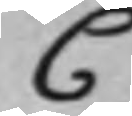C.
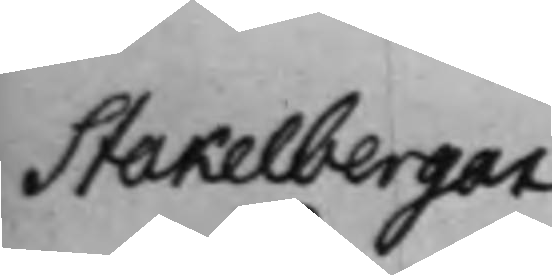Stakelbergar
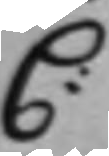C:
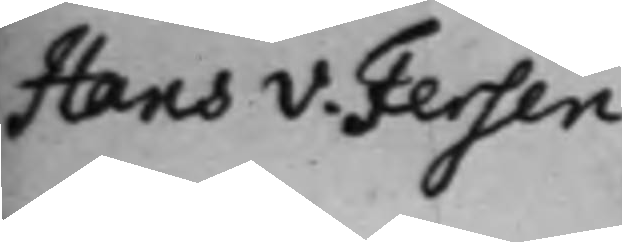Hans v. Fersen
